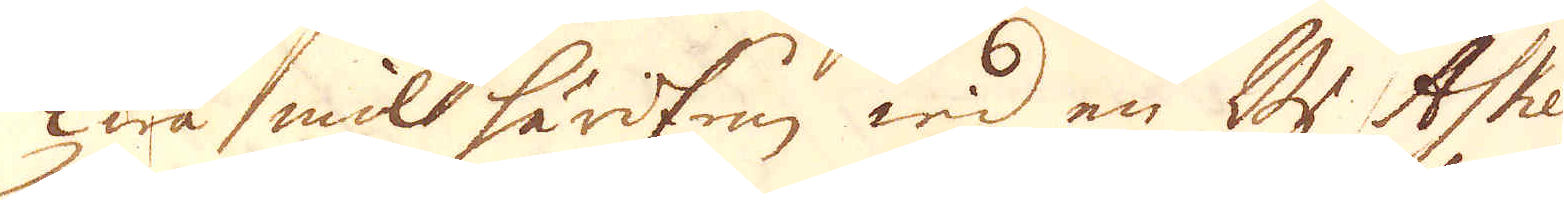Twå mil härifrån wid en By Ashe i
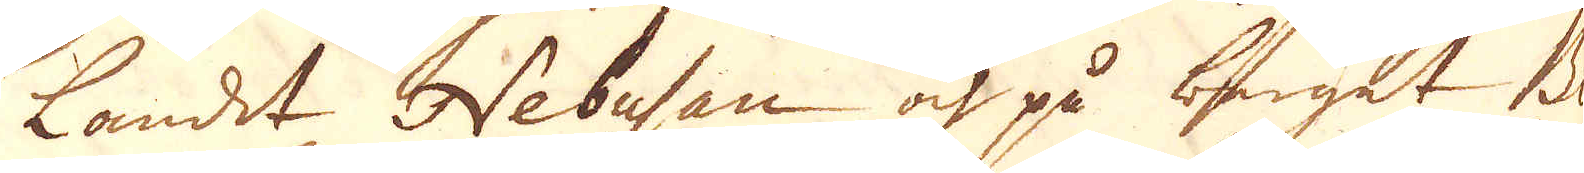landet Nebusan och på berget B
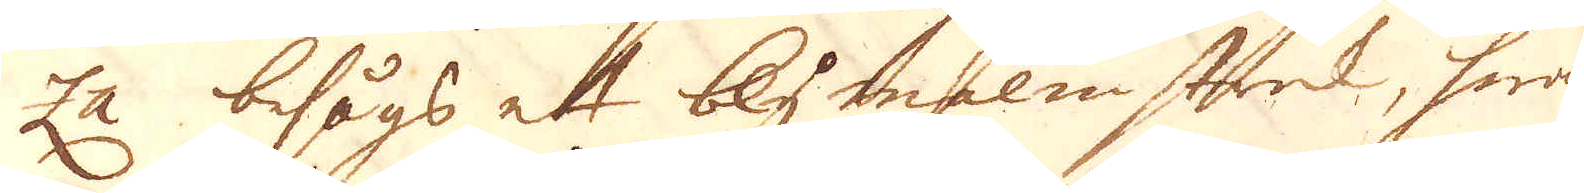za besågs ett blymelmstrek, hwarest
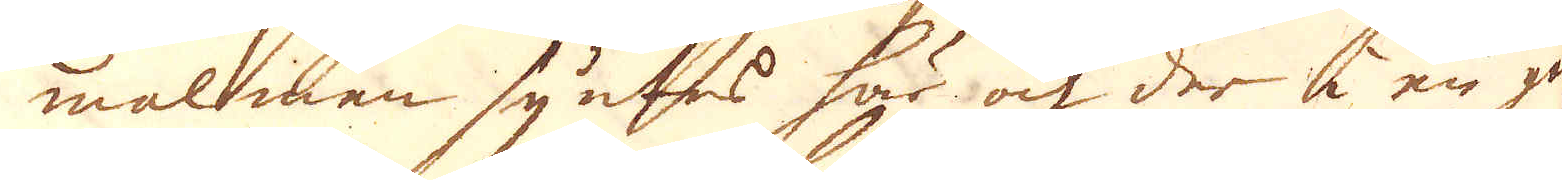malmen syntes här och der i en gå
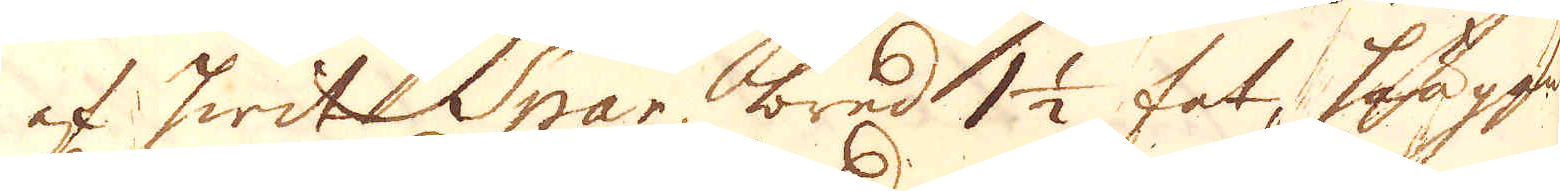af hwit Spar, bred 1 1/2 fot, hängande
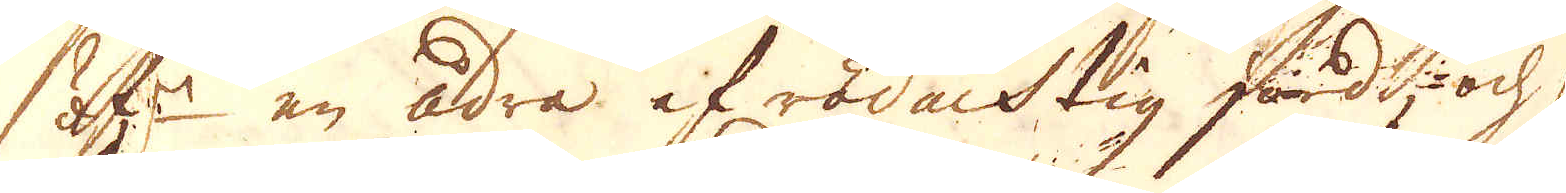öf:r en ådra af rödacktig jord, och sig
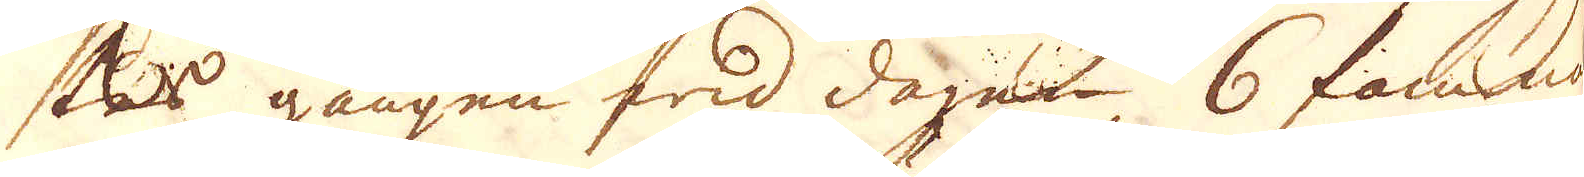skes gången wid dagen 6 famnar
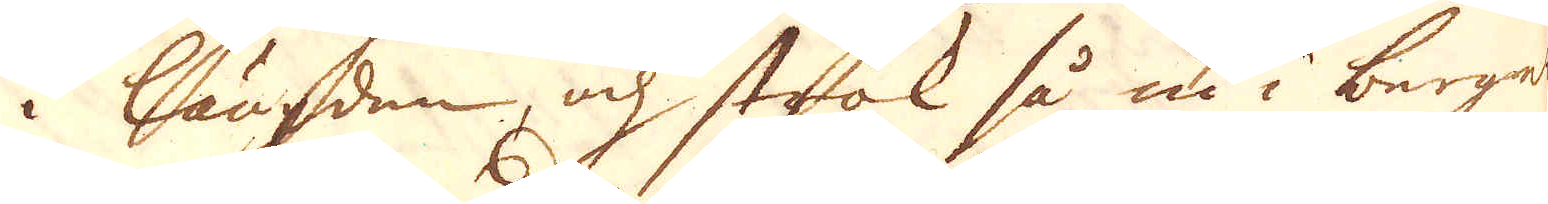i längden, och sträk så nu i bergen
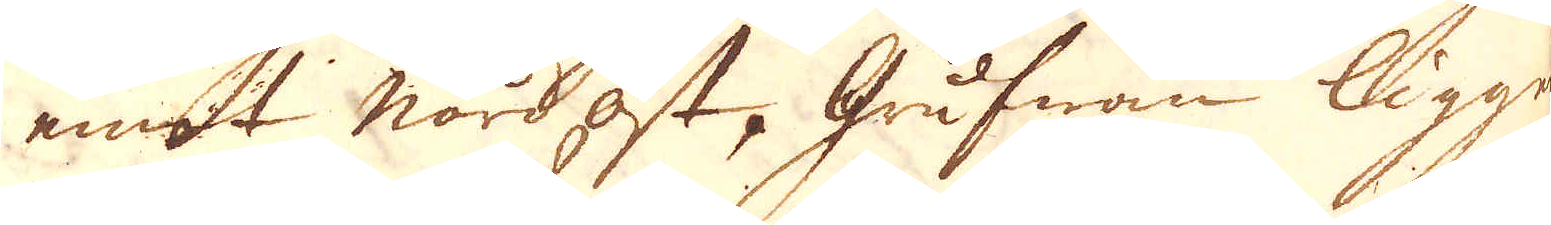emot Nordost, Grufwan ligger
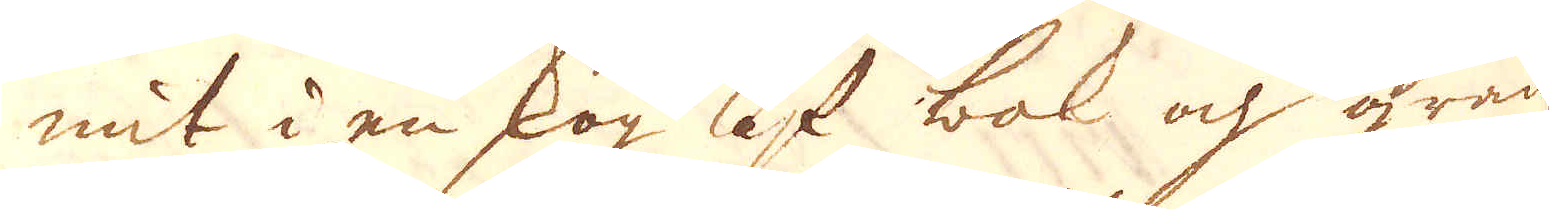mit i en skog af bak och gran
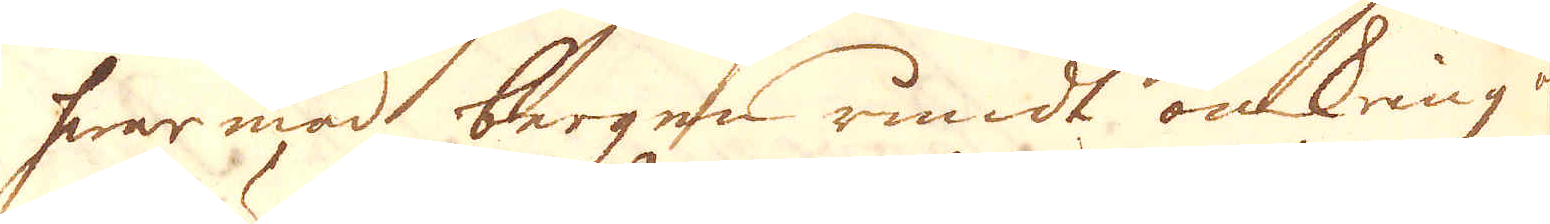hwar med bergen rundt omkring är
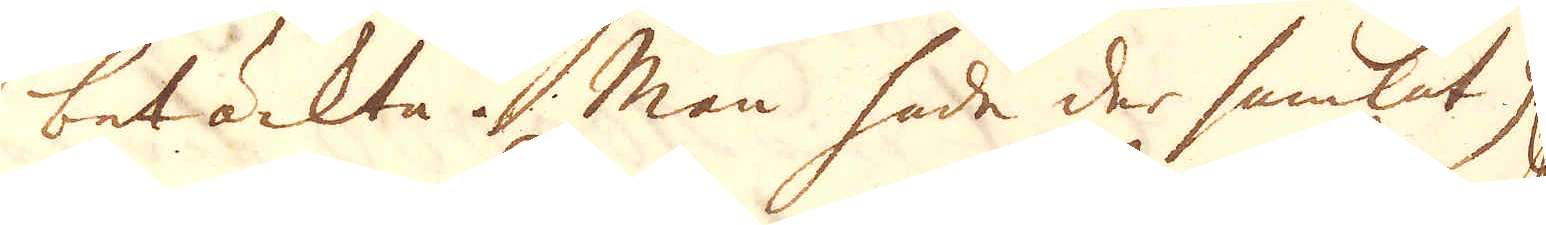betäckta. Man hade der samlat 9
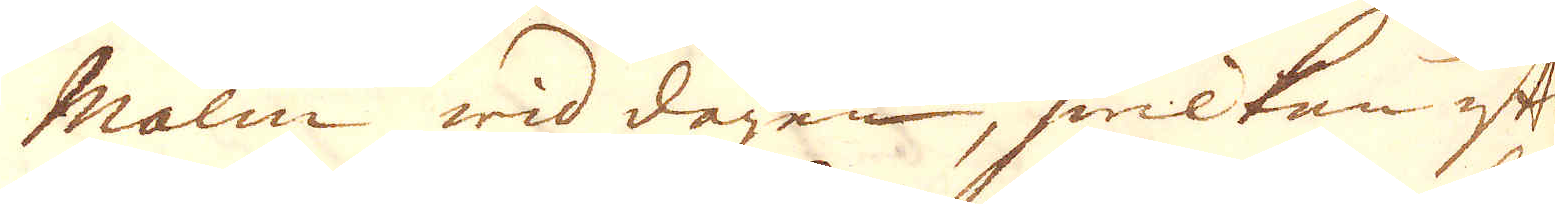Malm wid dagen, hwilken efter
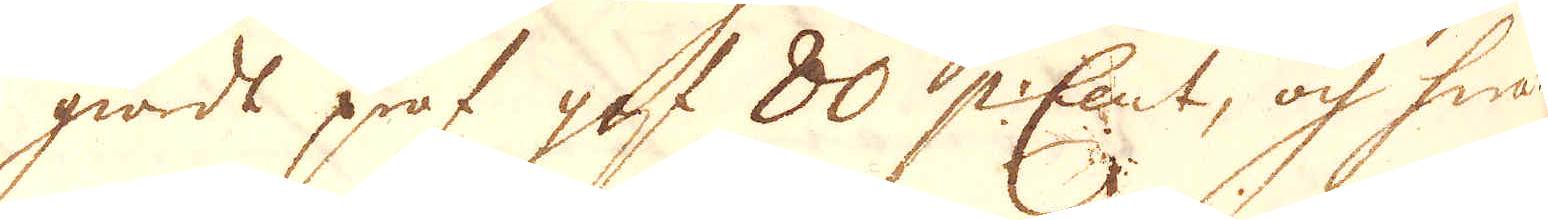giordt prof gaf 80 P:Cent, och hwarest
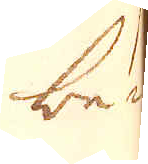bem-
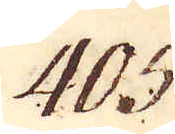405.
